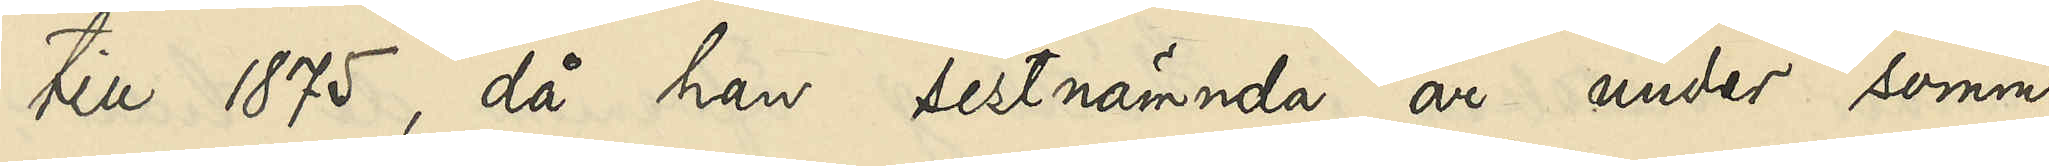till 1875, då han sistnämnda år under somma¬
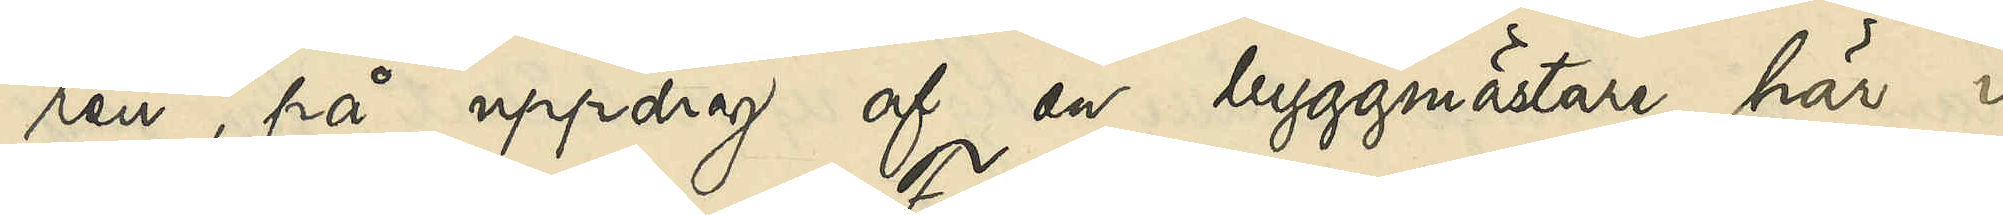ren, på uppdrag af en byggmästare här i
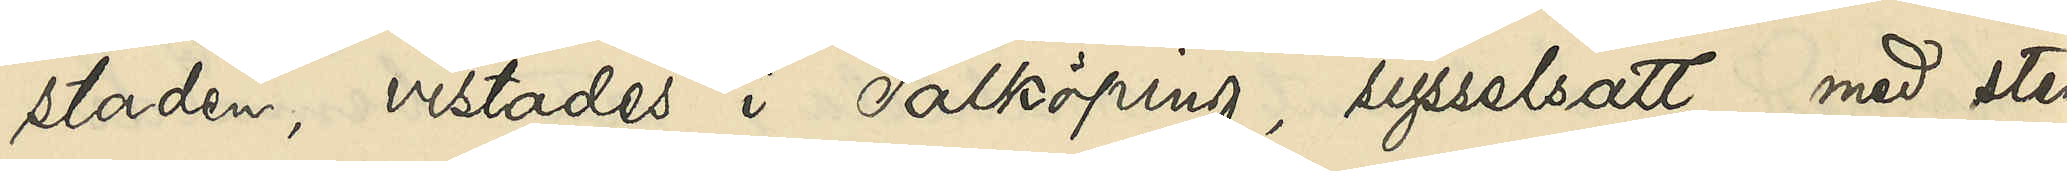staden, vistades i Falköping, sysselsatt med sten¬
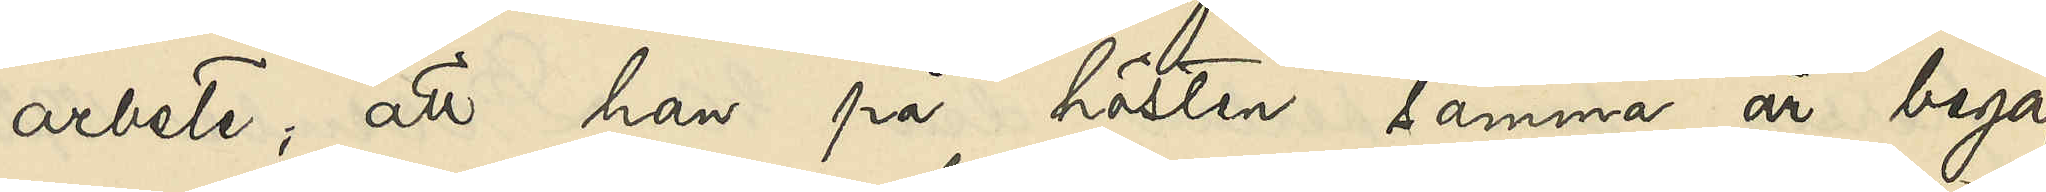arbete; att han på hösten samma år begaf
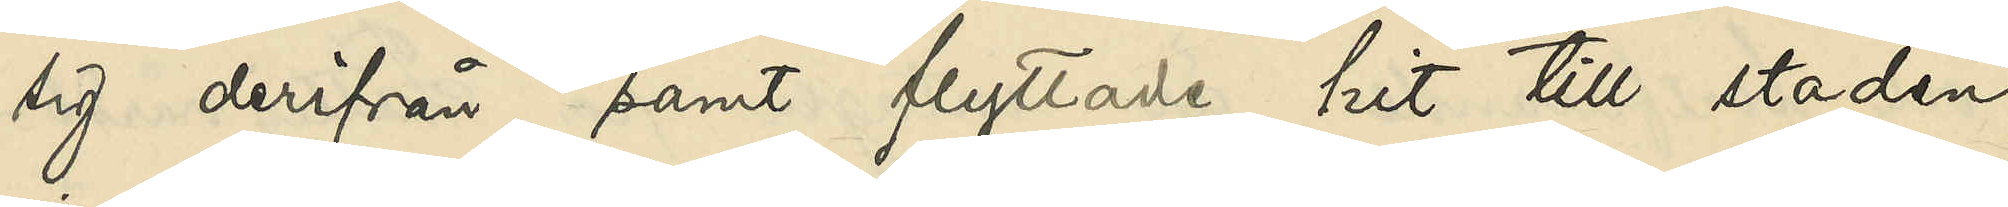sig derifrån samt flyttade hit till staden
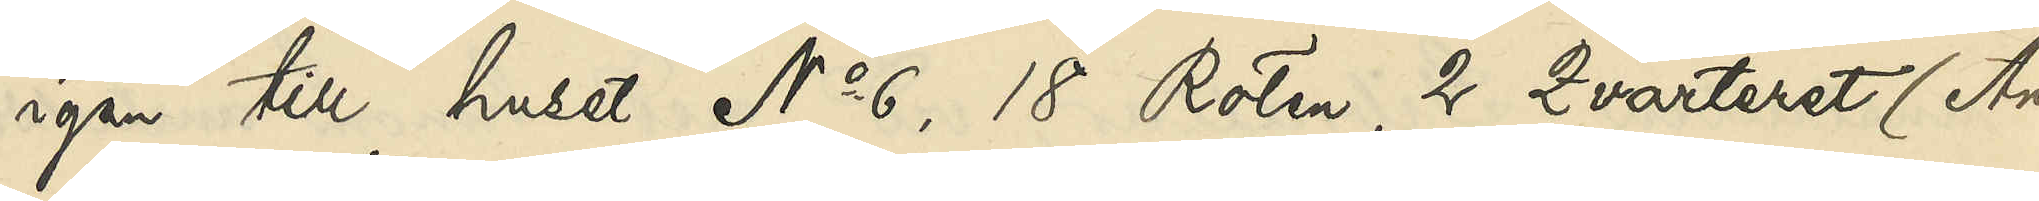igen till huset No 6, 18 Roten, 2 Qvarteret (Ånäs¬
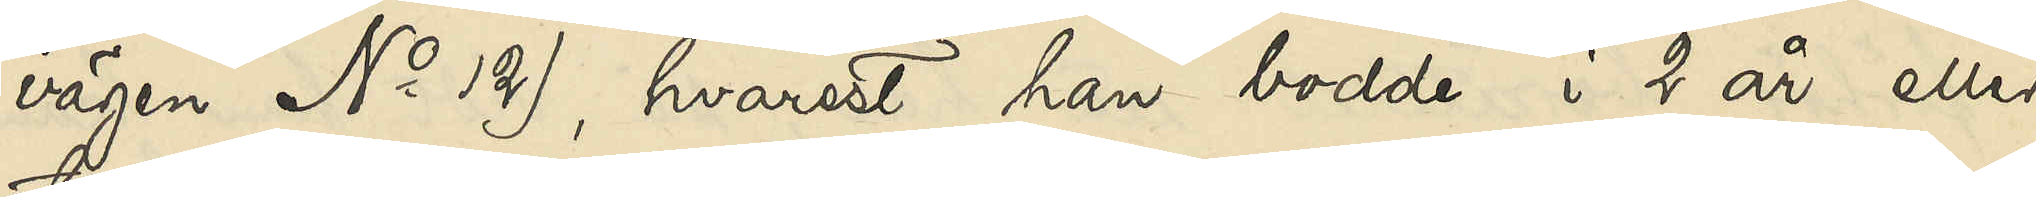vägen No 12), hvarest han bodde i 2 år eller
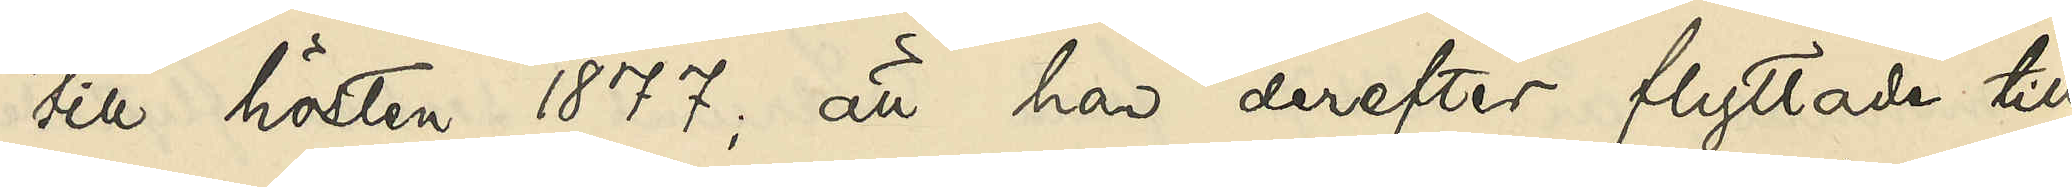till hösten 1877; att han derefter flyttade till
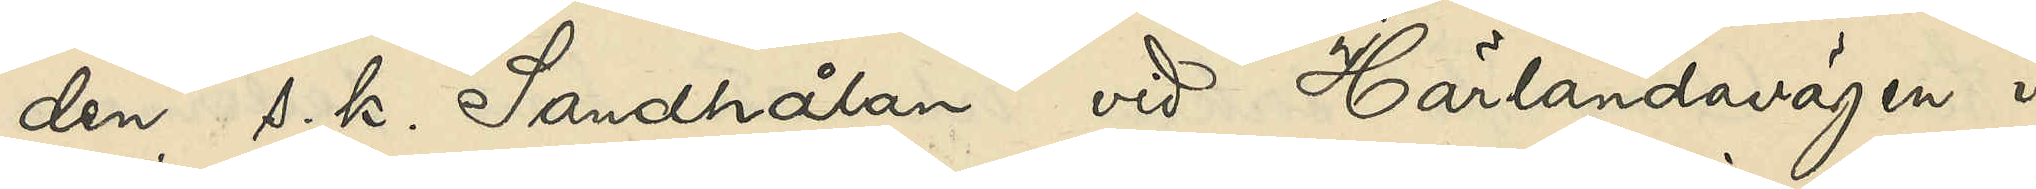den s. k. Sandhålan vid Härlandavägen i
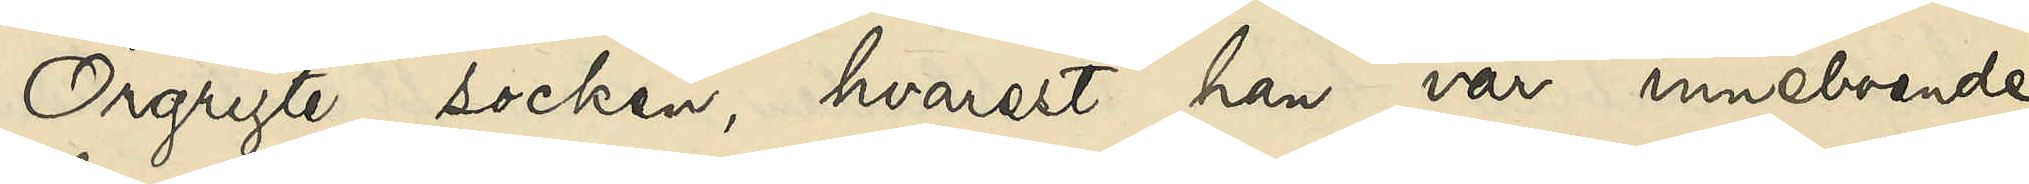Örgryte socken, hvarest han var inneboende
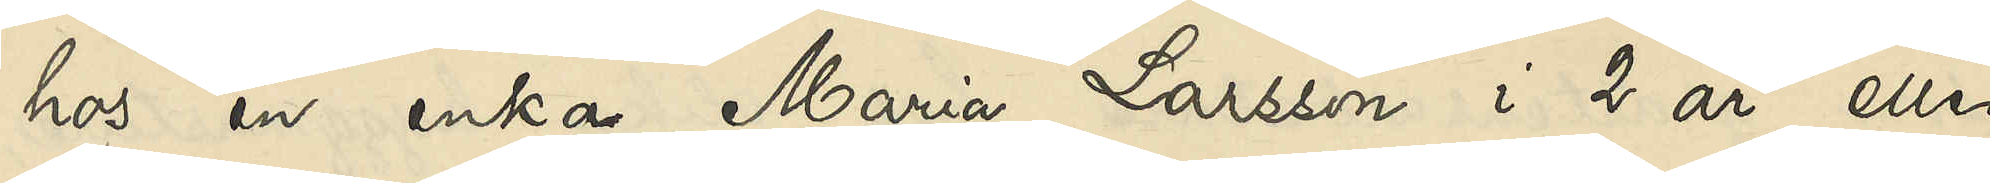hos en enka Maria Larsson i 2 år eller
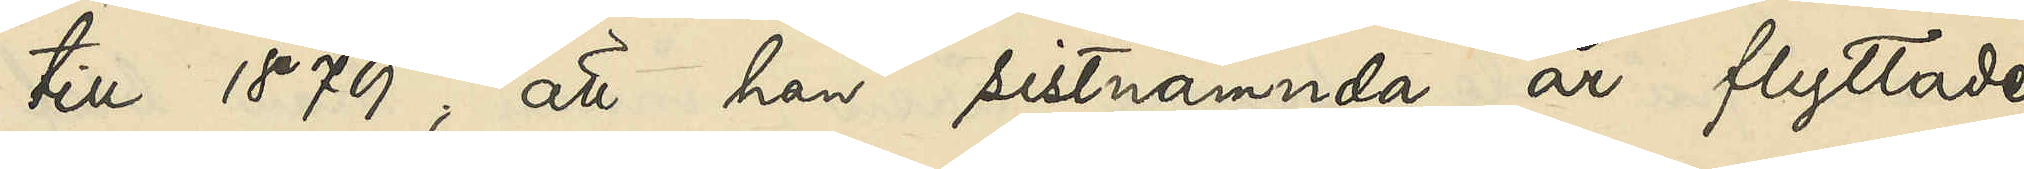till 1879; att han sistnämnda år flyttade
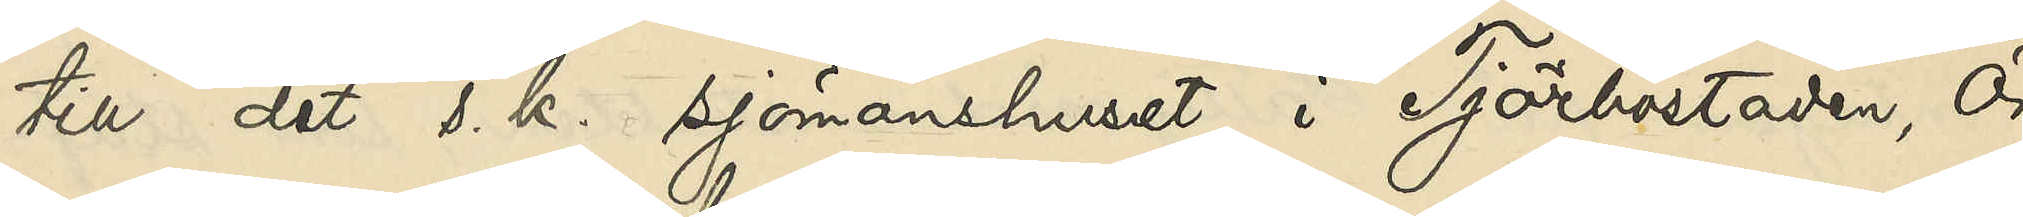till det s. k. sjömanshuset i Tjörbostaden, Ör¬
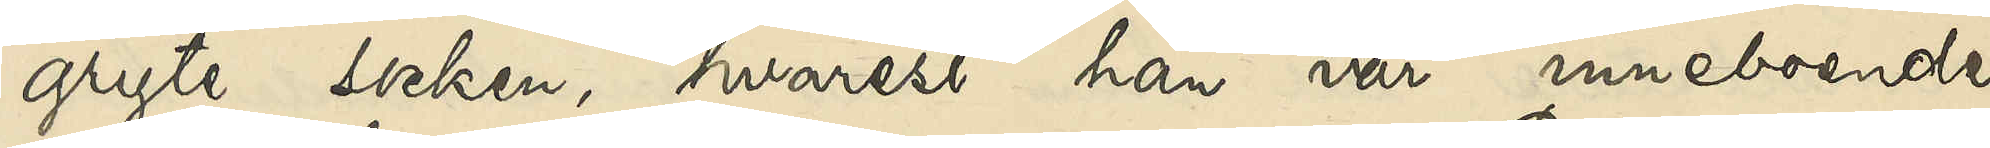gryte socken, hvarest han var inneboende
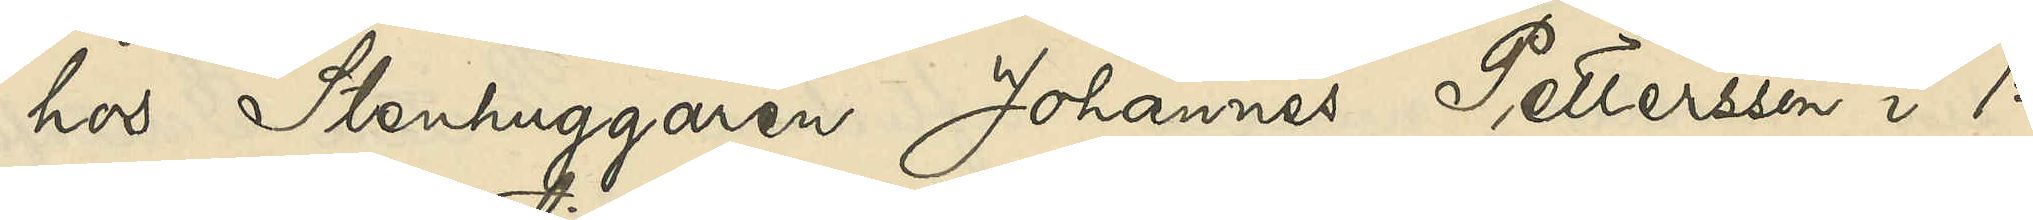hos Stenhuggaren Johannes Pettersson i 12
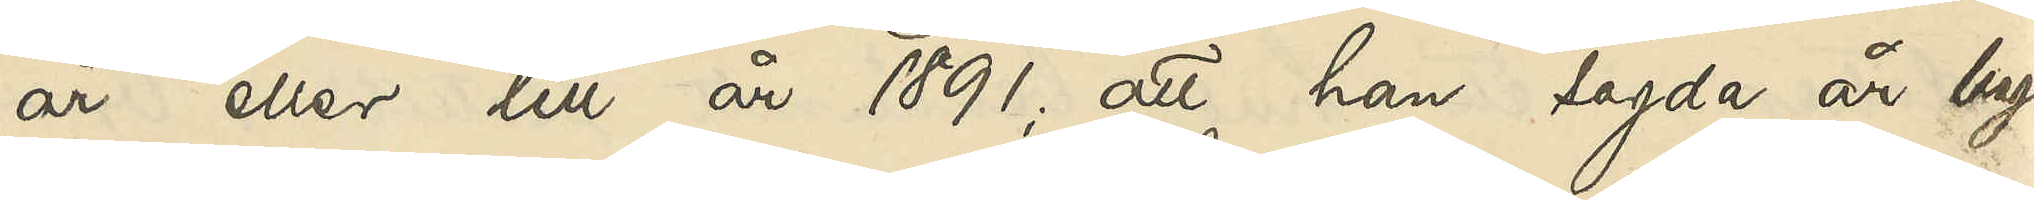år eller till år 1891; att han sagde år begaf
